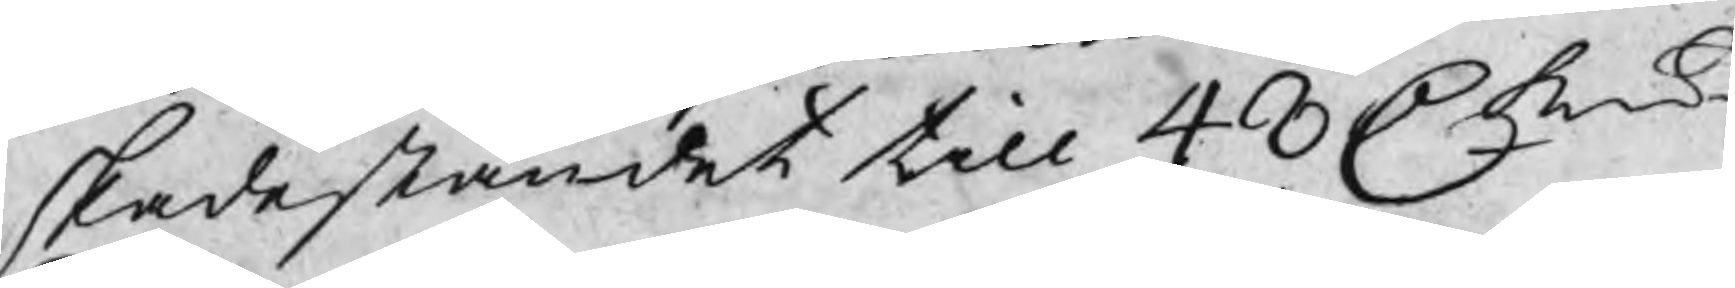skadeståndet till 48 C kmt
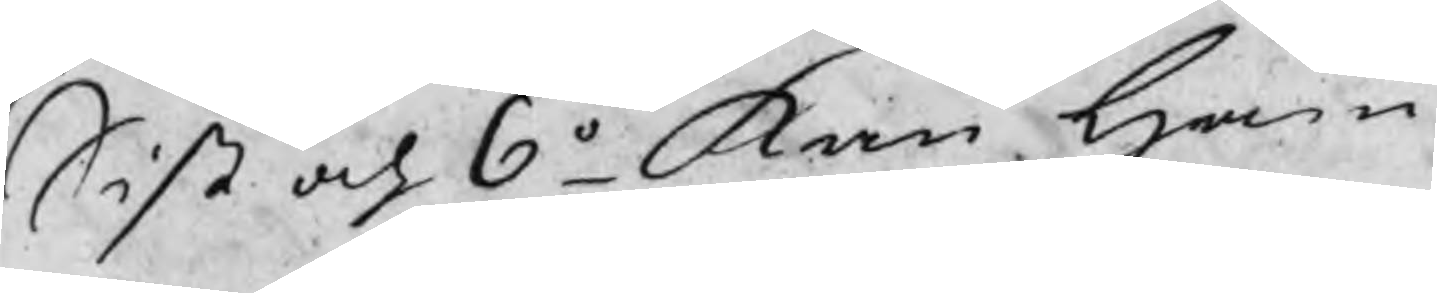Sist och 6o Kan Ham¬
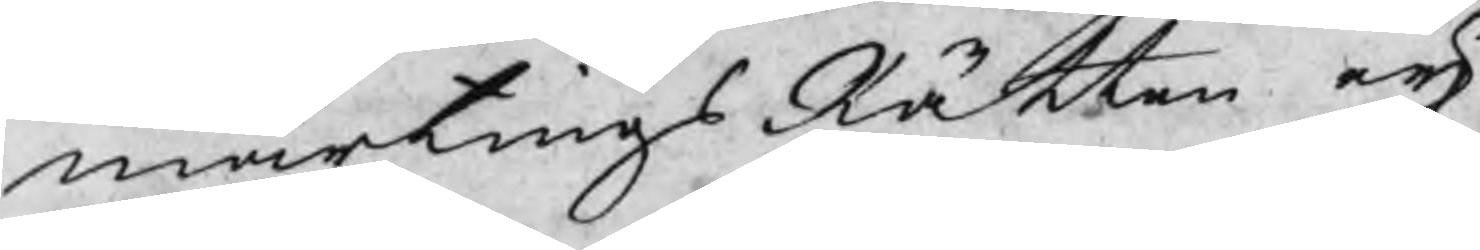martingsRätten eij
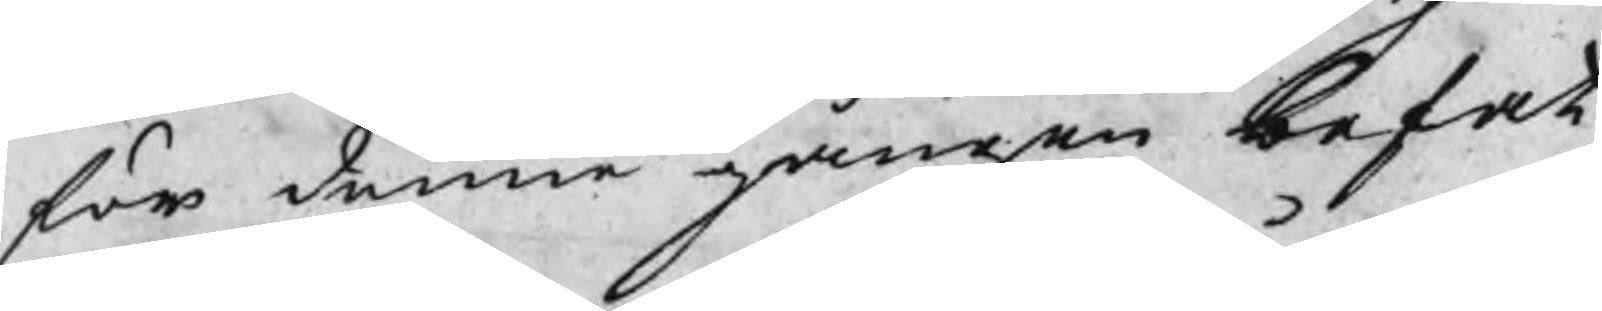för denna gången befat¬
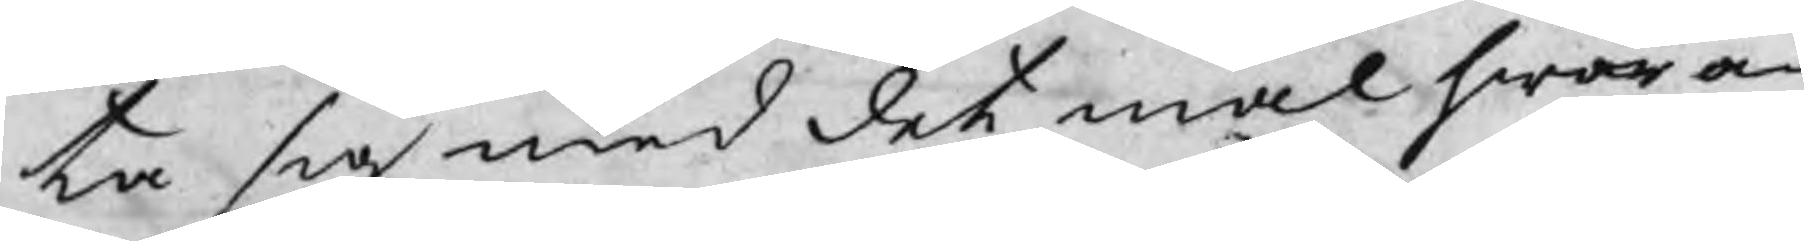ta sig med det mål hwar om
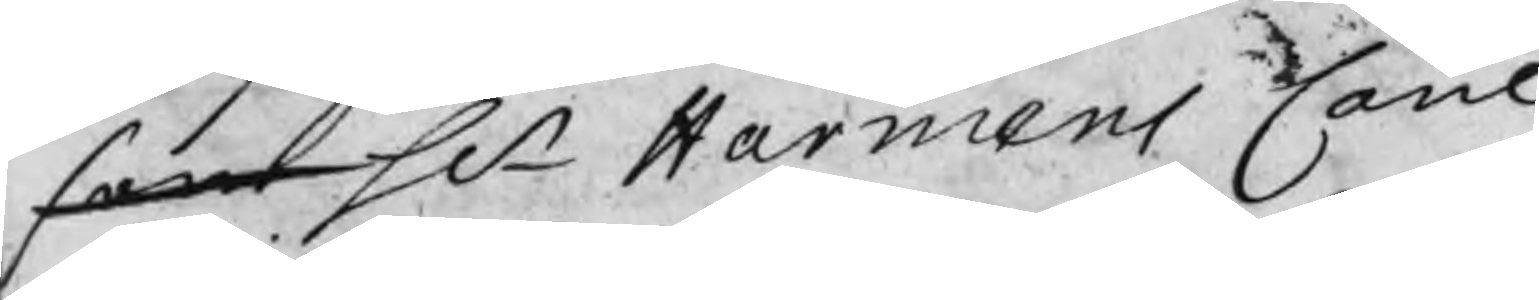som Hr Harmens Cane
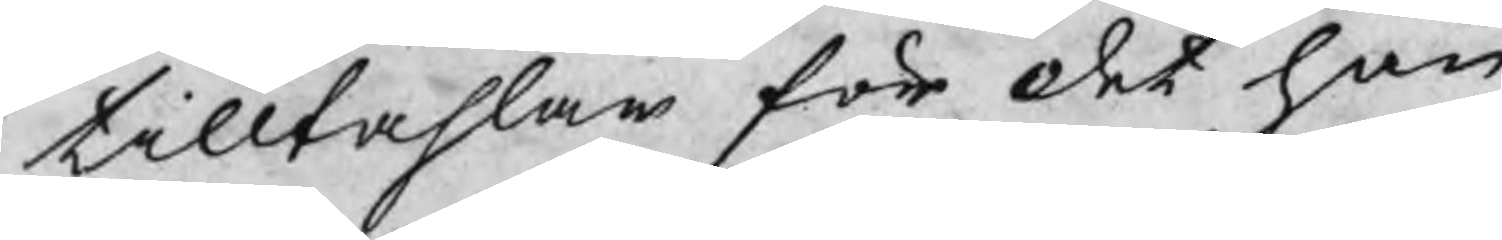tilltahlar för det han
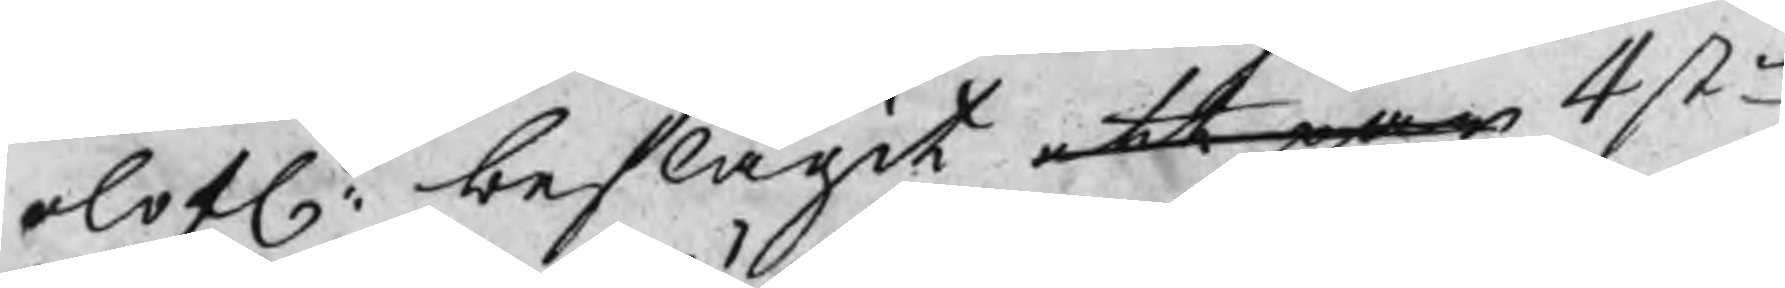olofl: beslagit ett par 4 st
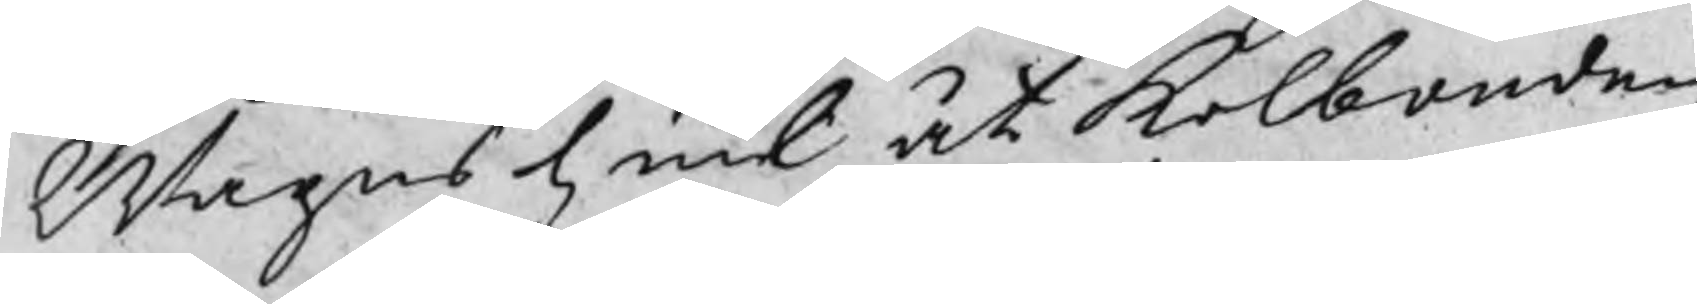Wagnshiul åt kolbonden
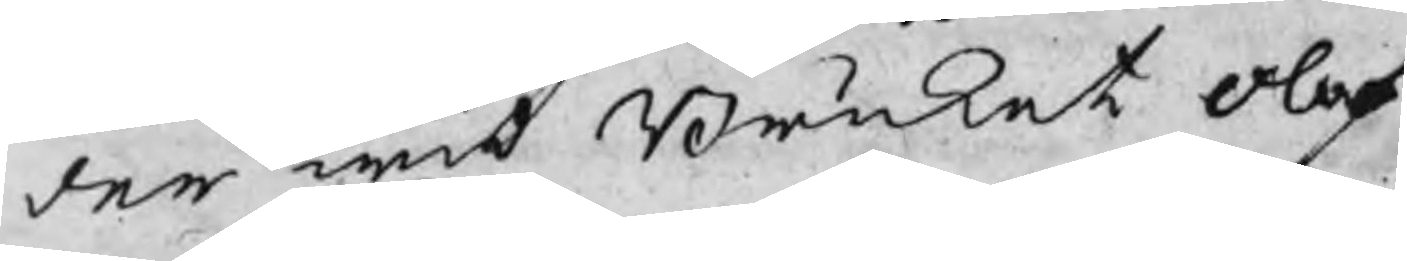der wid Bruket Olof
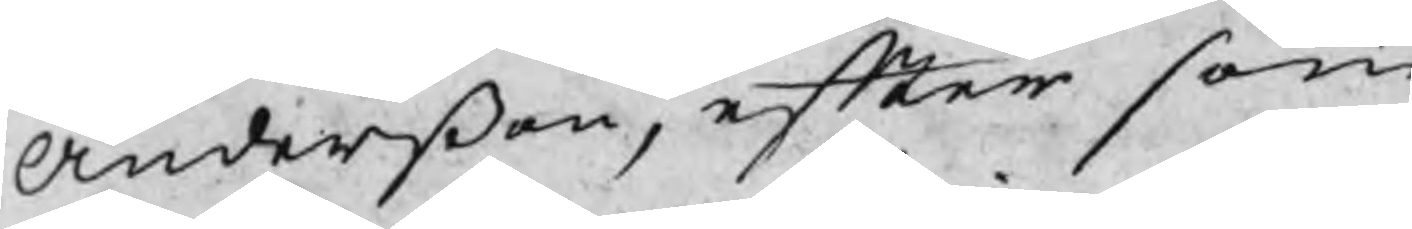Anderßon, efter som
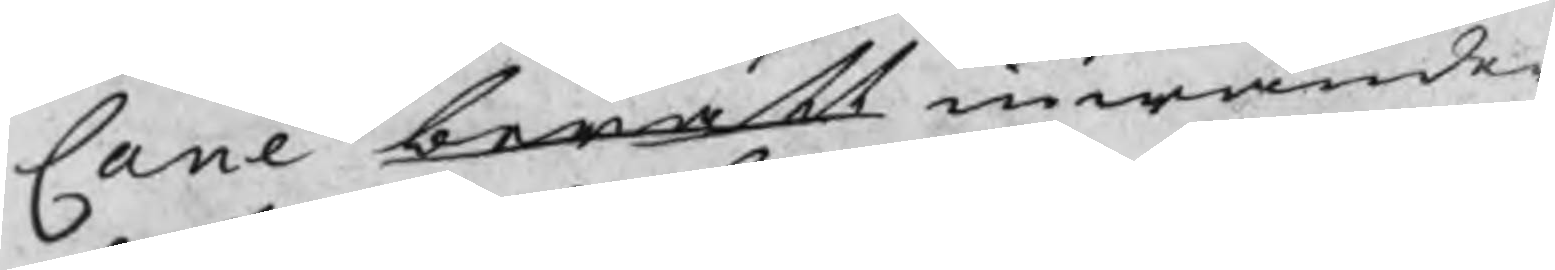Cane beratt inwänder
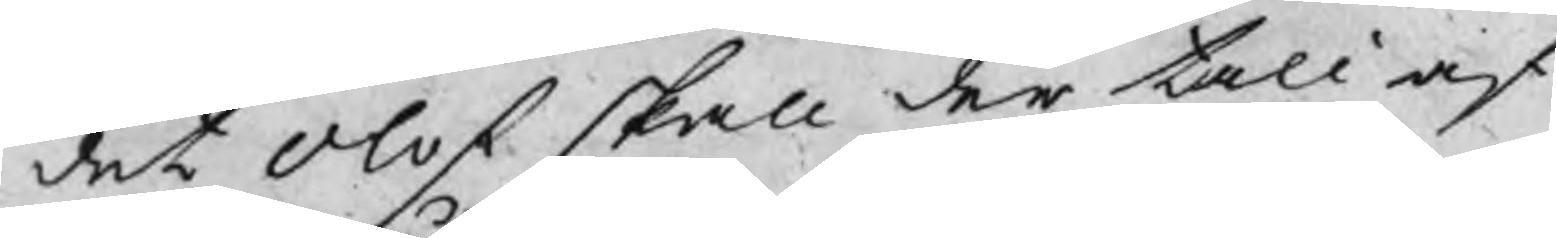det Olof skall der till af
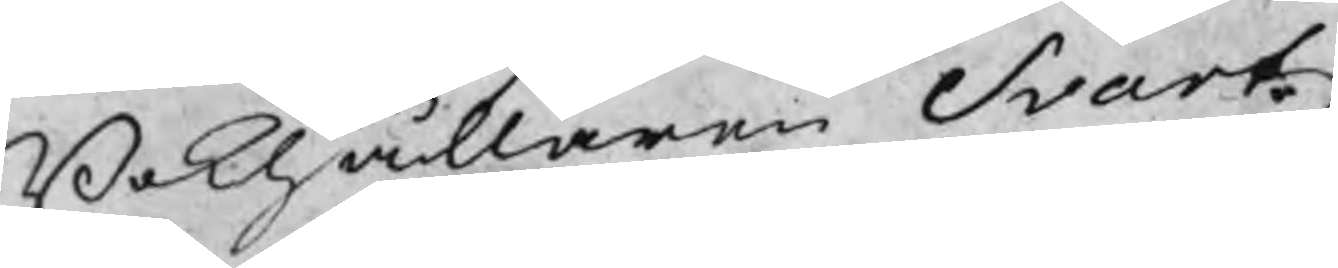Bokhållaren Svartz
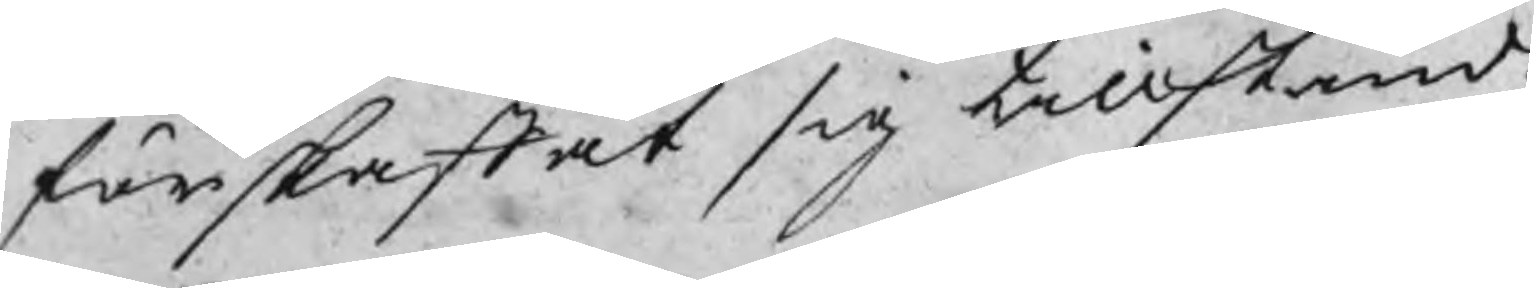förskaffat sig tillstånd;
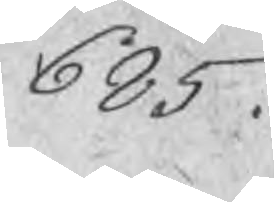685
